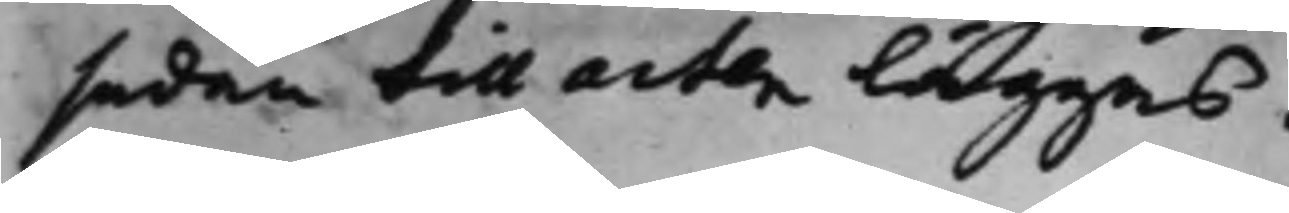sedan till acten läggas.
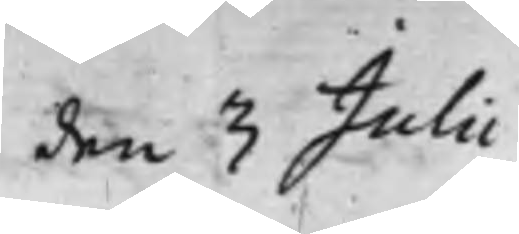den 3 Julii
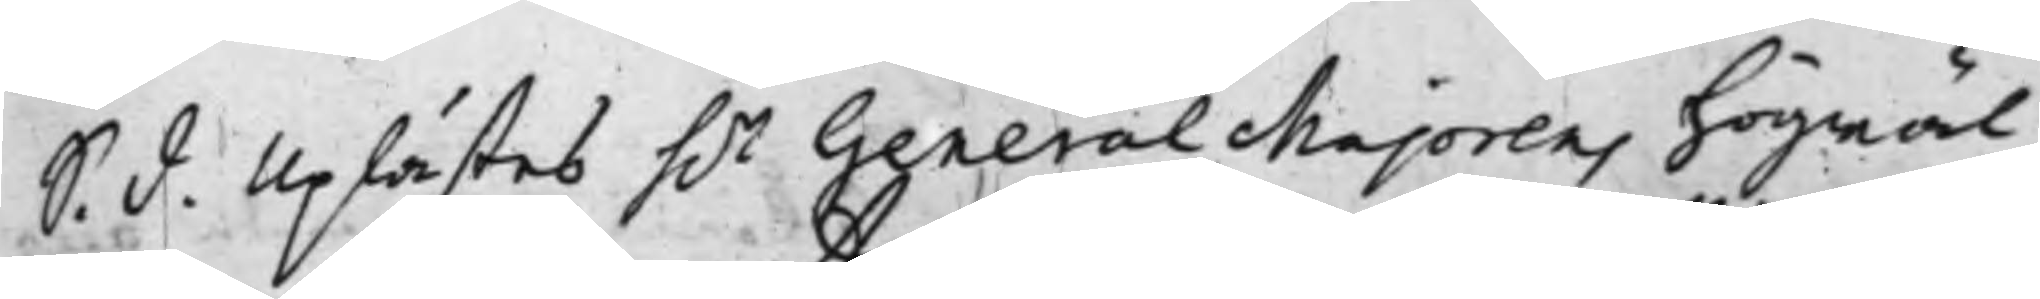S. d. Uplästes h.r GeneralMajorens högwäl¬
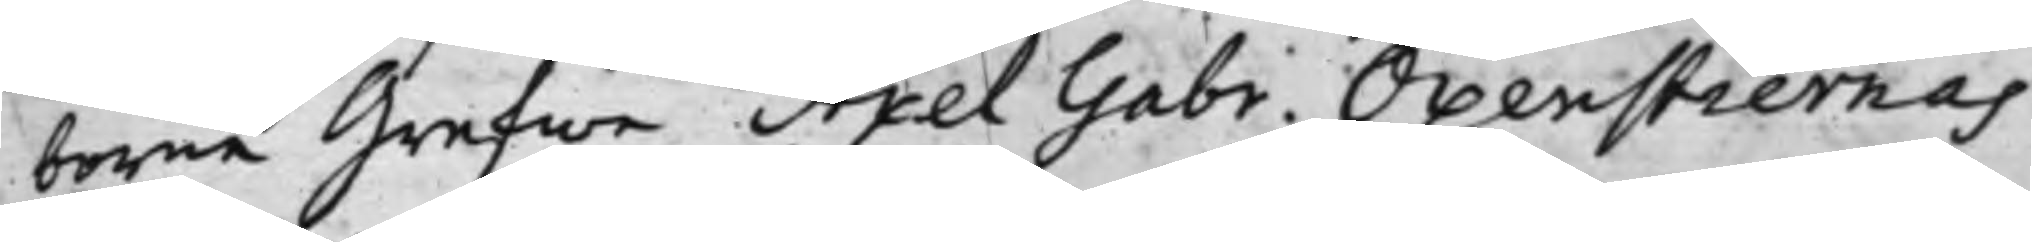borne Grefwe Axel Gabr. Oxenstiernas
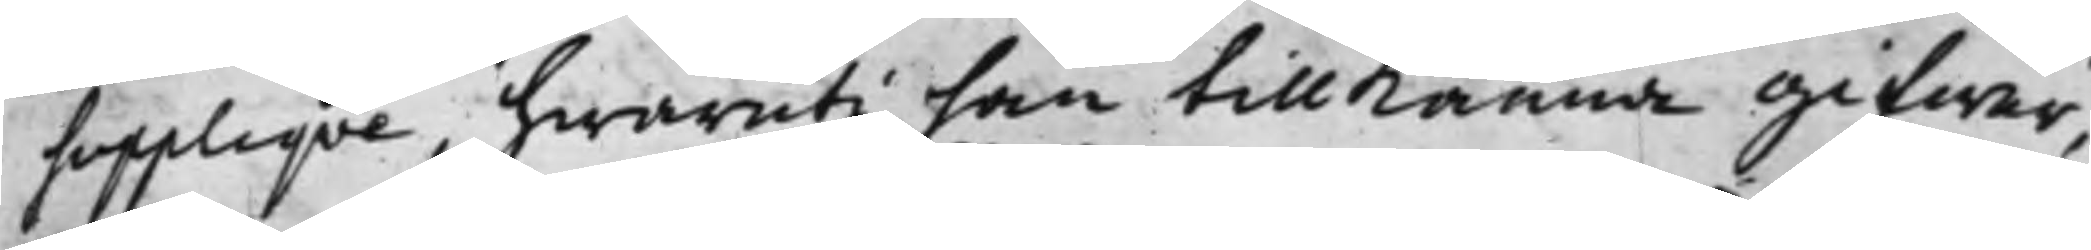Suppliqve, hwaruti han tillKänna gifwer,
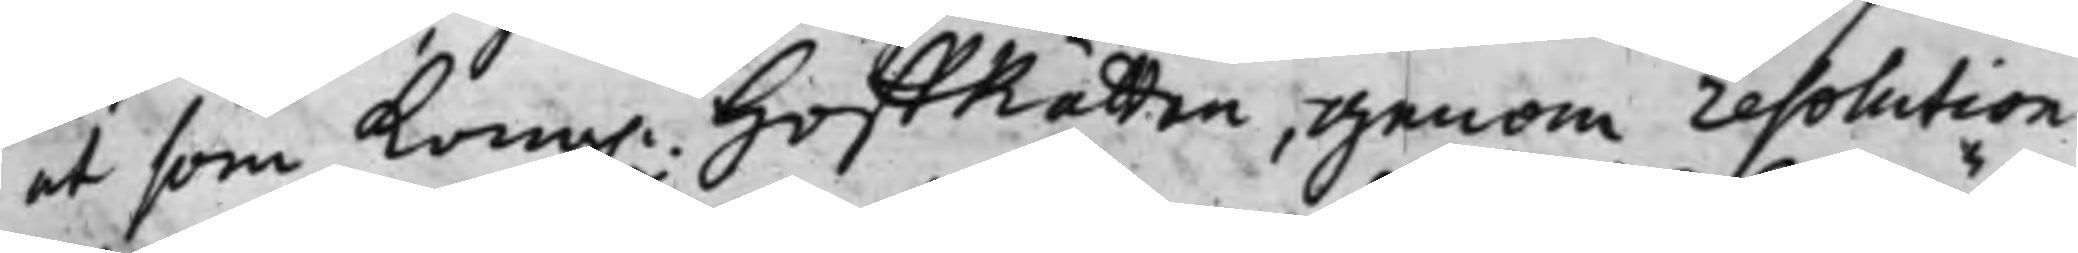at som Kong. HoffRätten, genom resolution
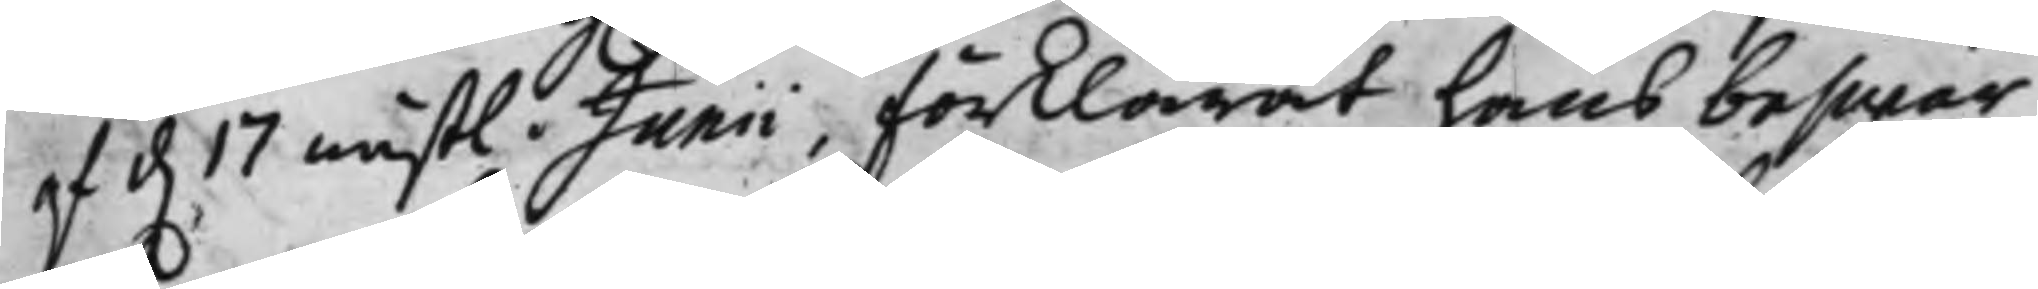af d. 17 nästl. Junii, förklarat hans beswär
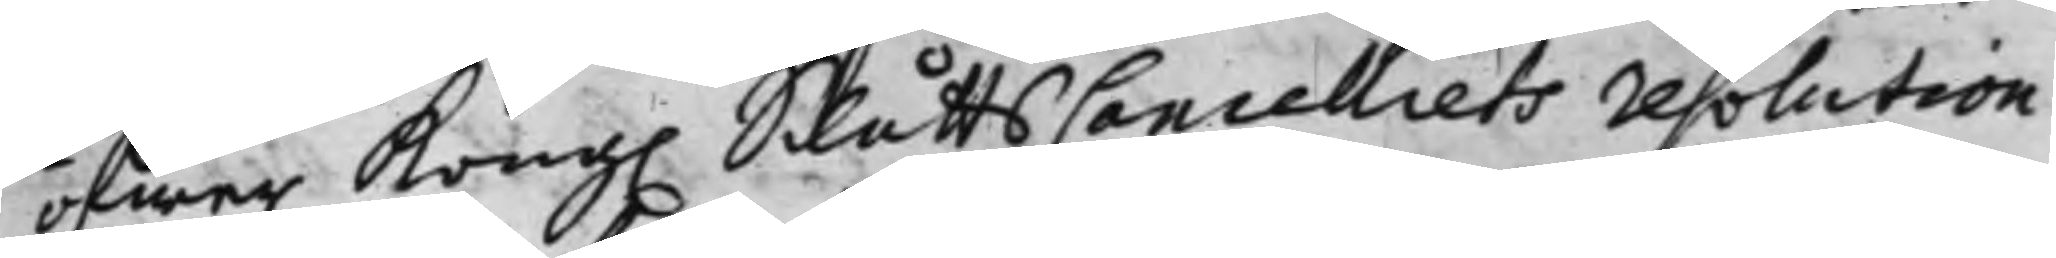öfwer Kong. SlåttsCancelliets resolution
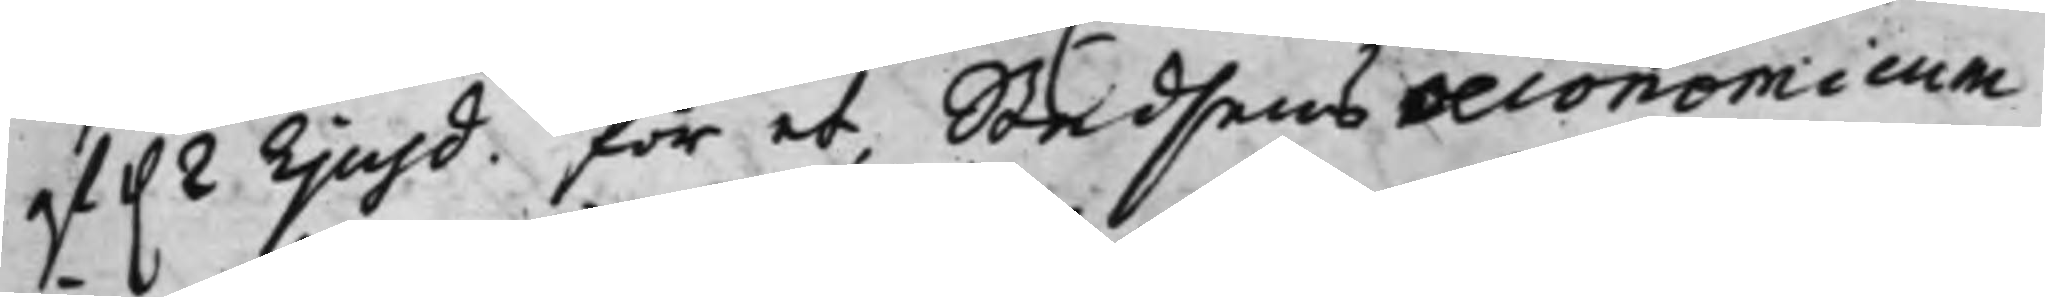af d. 2 Ejusd. för et Stadsens oeconomicum
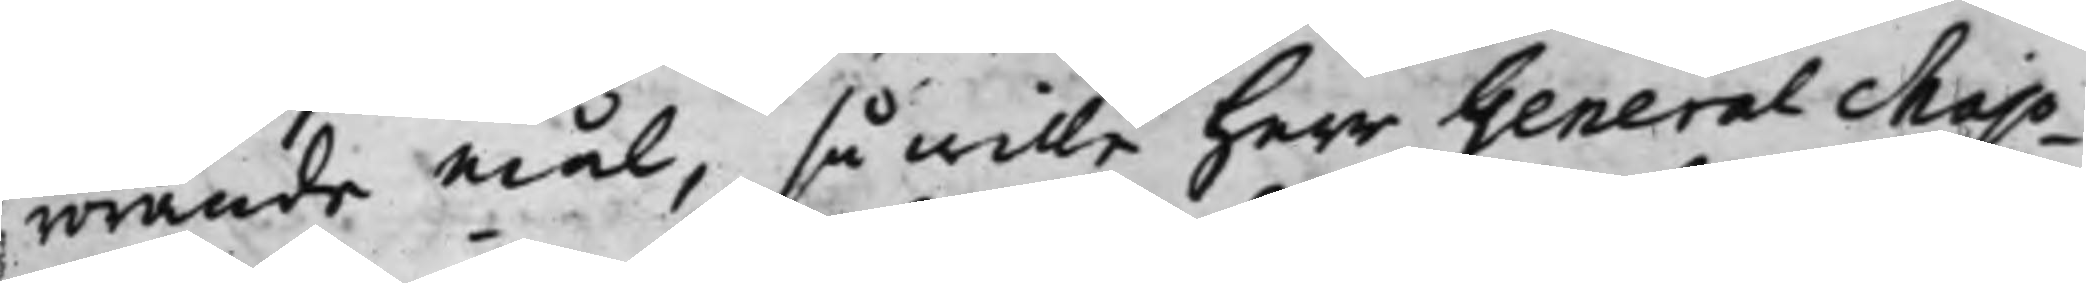rörande mål, så wille Herr GeneralMajo¬
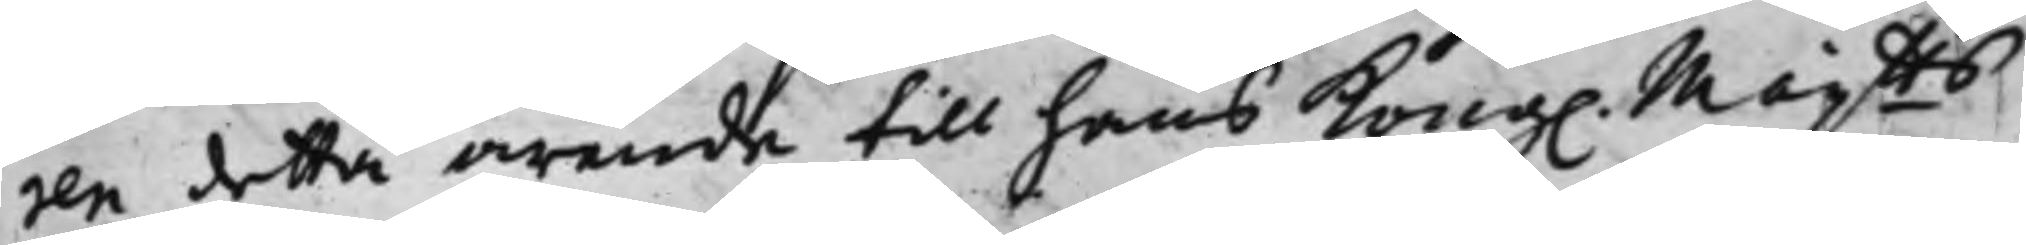ren detta ärende till hans Kong. Maijtts
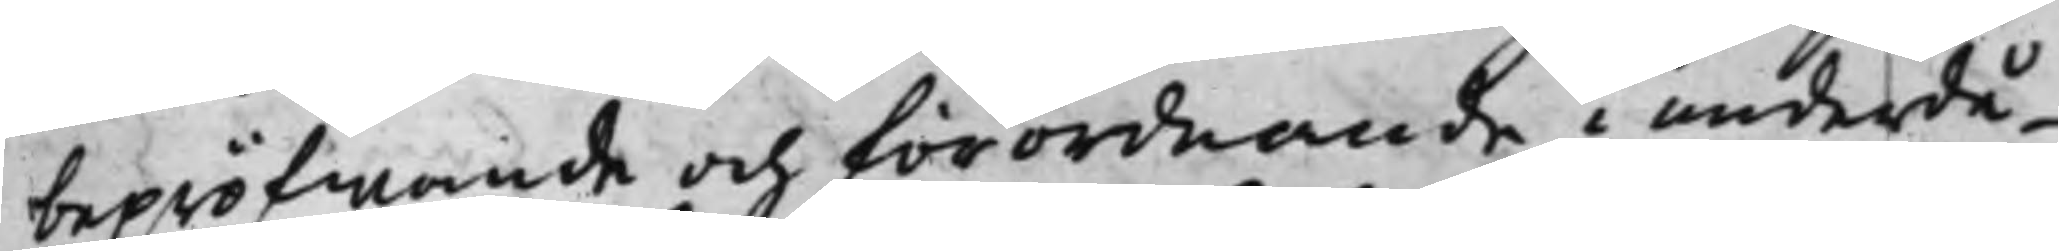bepröfwande och förordnande i underdå¬
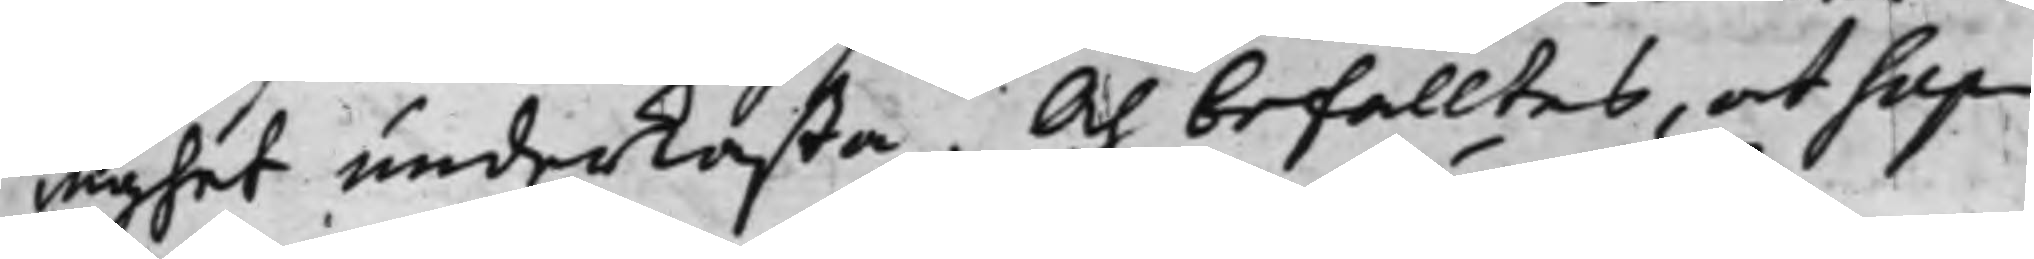nighet underkasta. Och befalltes, at Sup¬
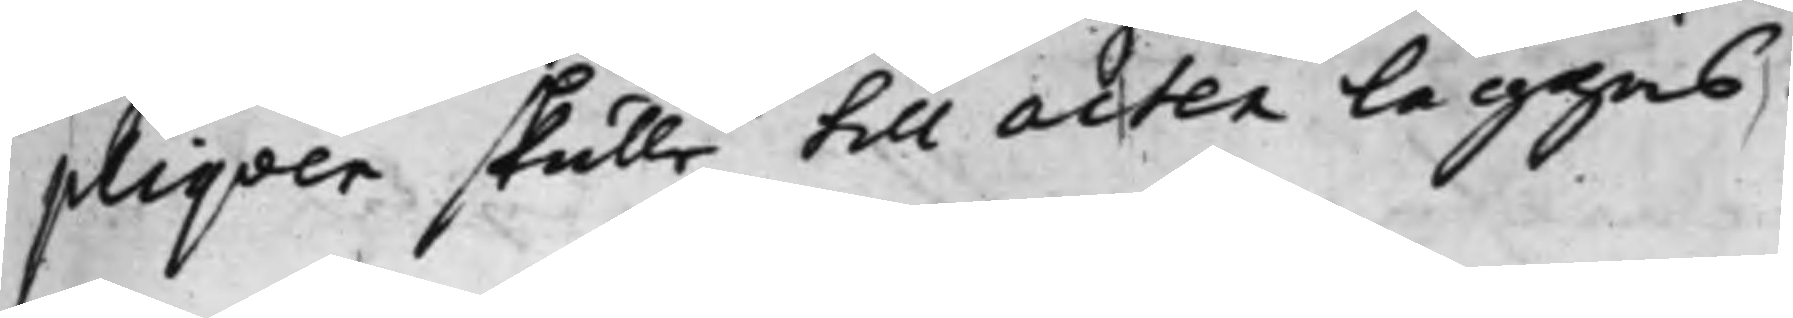pliqven skulle till acten Läggas.
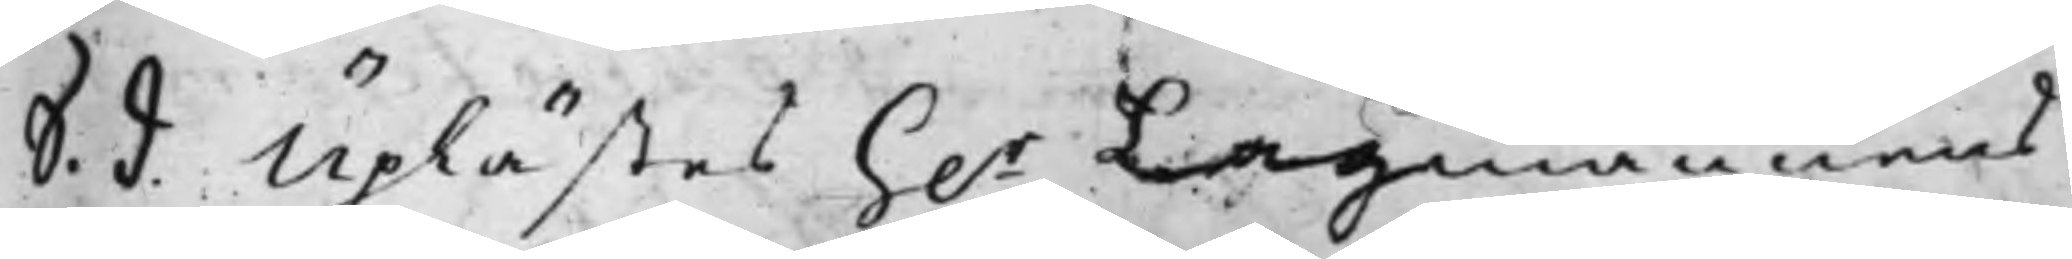S. d. Uplästes H.r Lagmannens
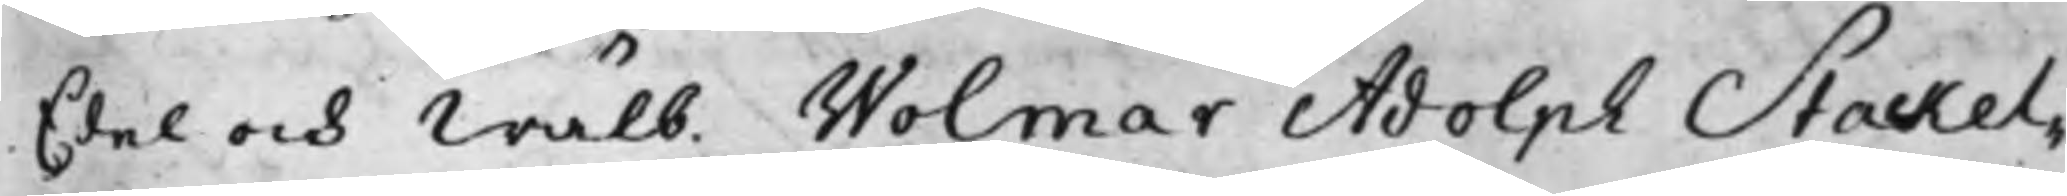Edel och Wälb. Wolmar Adolph Stackel¬
